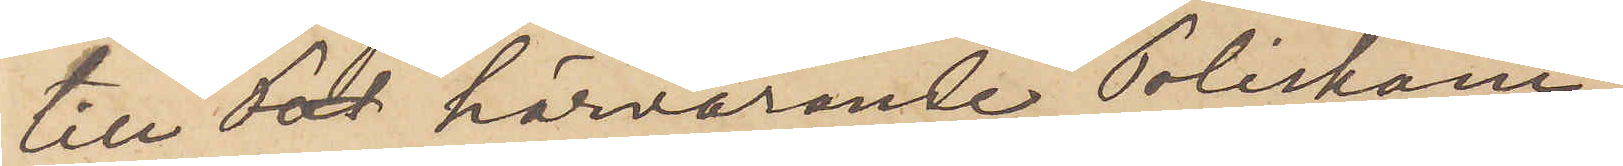till härvarande Poliskam¬
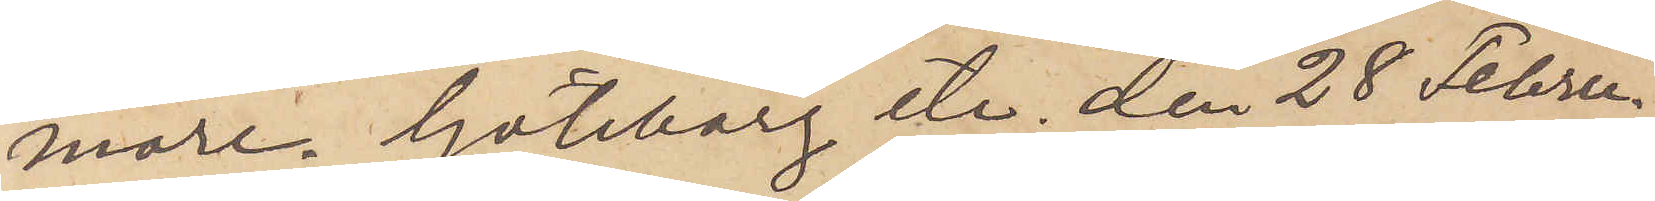mare. Göteborg etc den 28 Febru¬
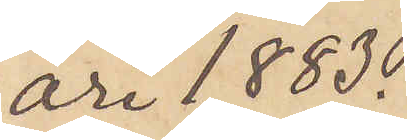ari 1883.
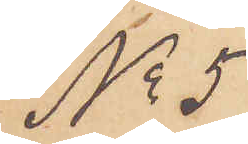No 5
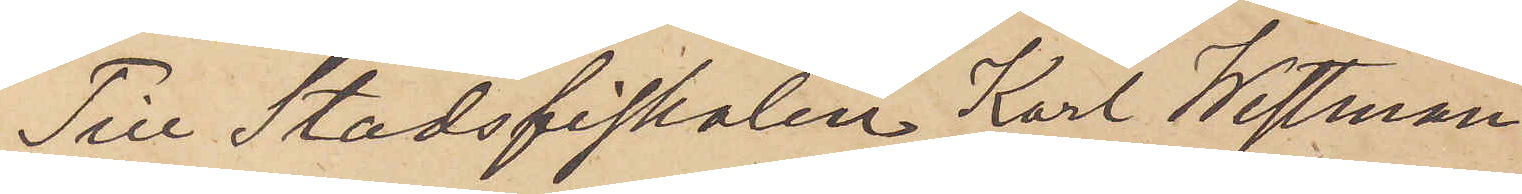Till Stadsfiskalen Karl Westman.
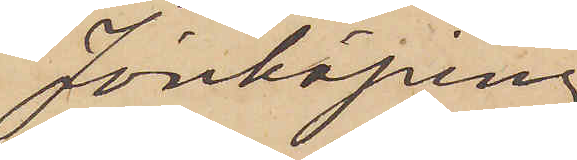Jönköping
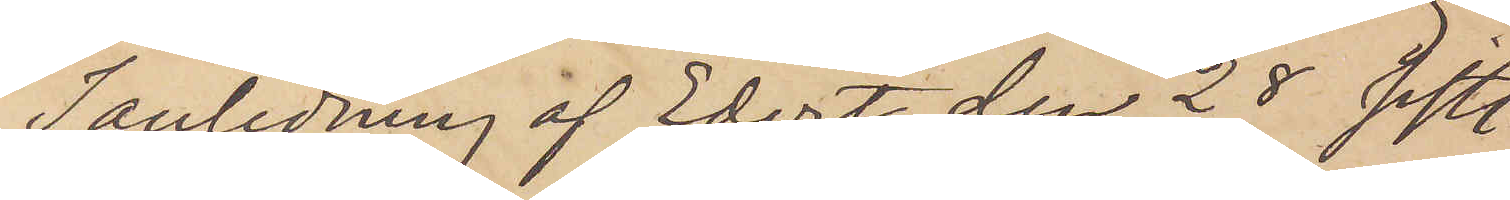I anledning af Edert den 28 sistl.
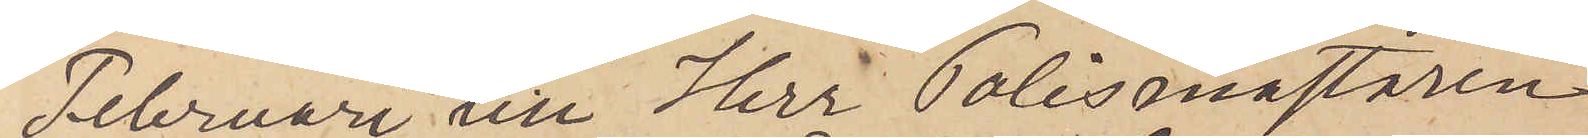Februari till Herr Polismästaren
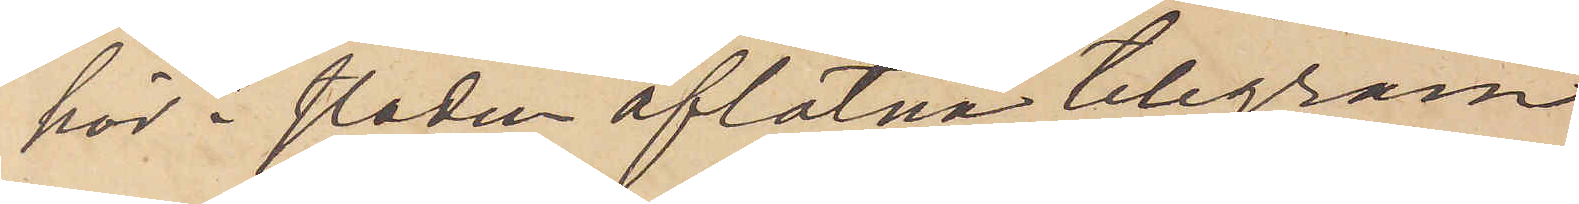här i staden aflåtna telegram
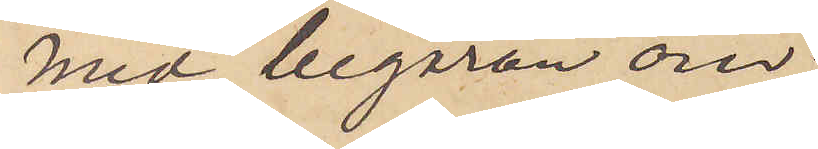med begäran om
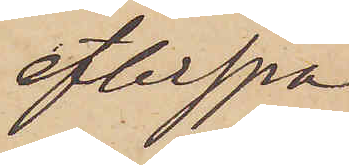efterspa¬
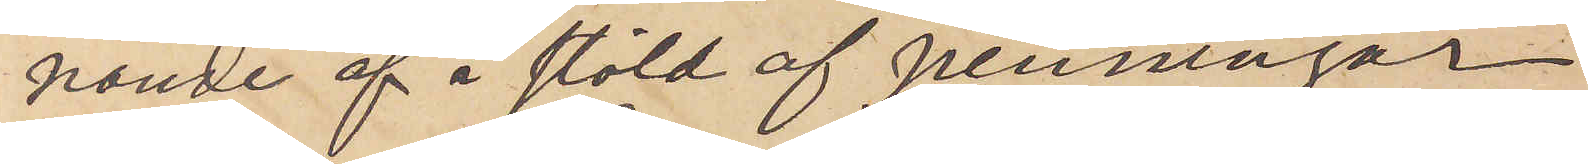nande af å stöld af penningar
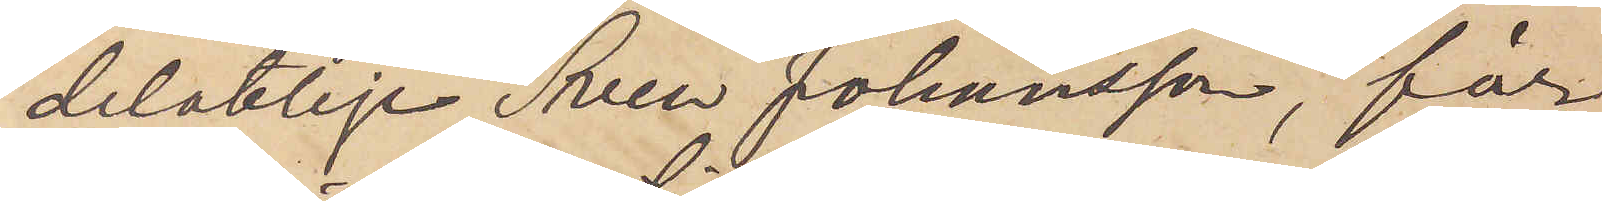delaktige Sven Johansson, får
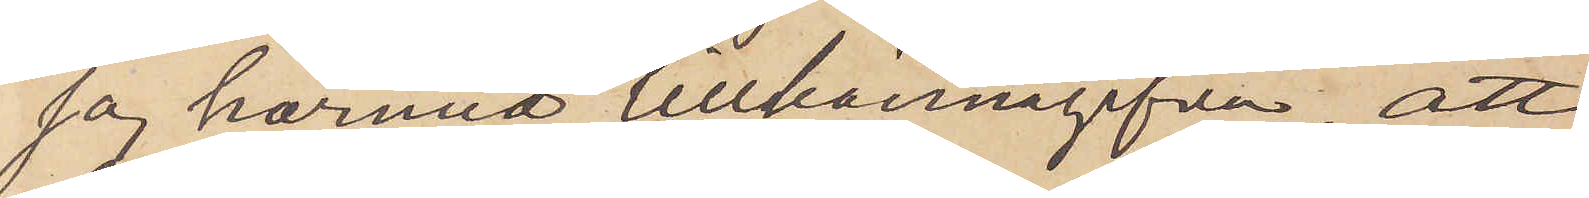jag härmed tillkännagifva, att
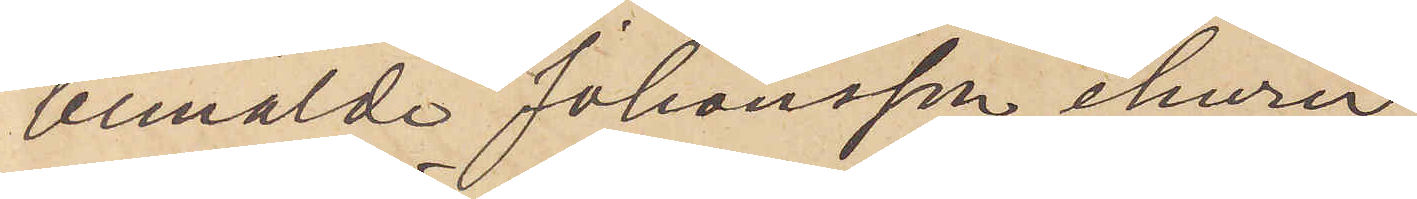bemälde Johansson, ehuru
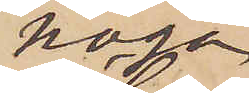noga
